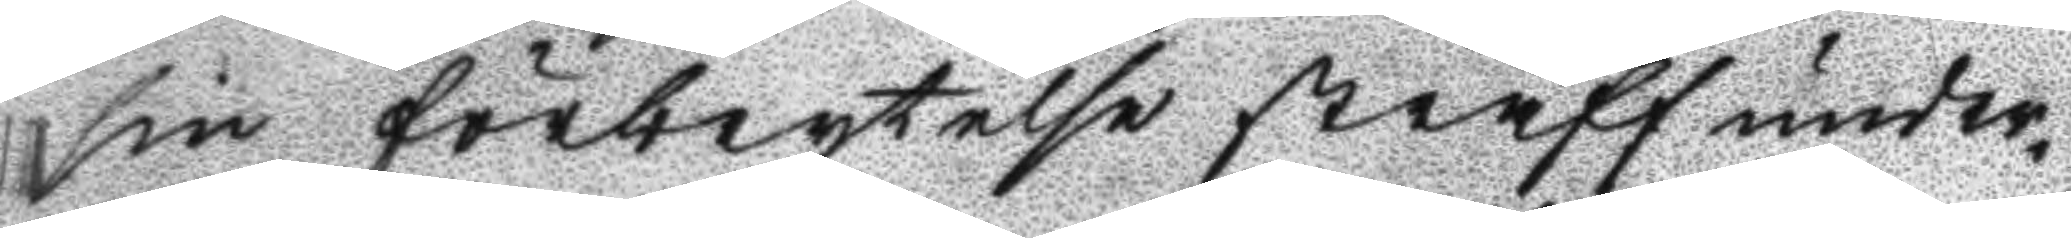sin förbrytelse straff under¬
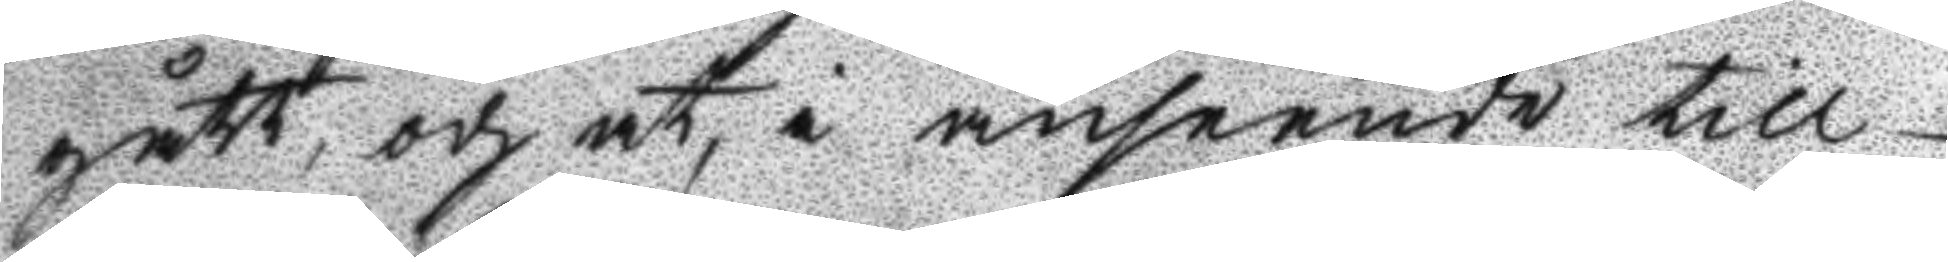gått, och at, i anseende till
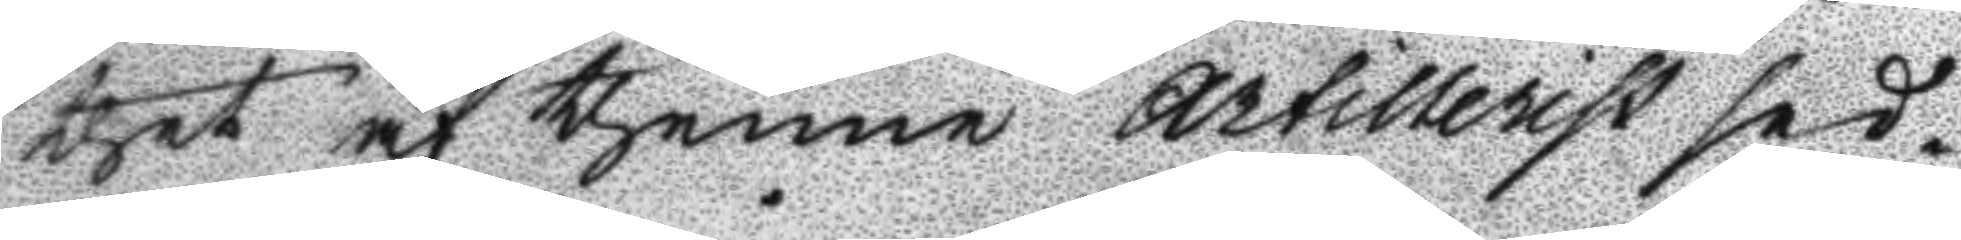thet af thenne Artillersit sed¬
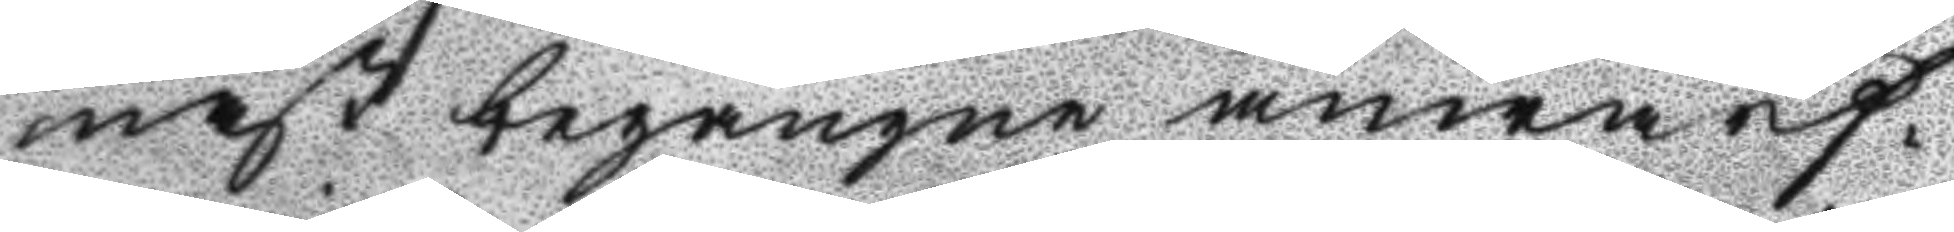nast begångne anwärf¬
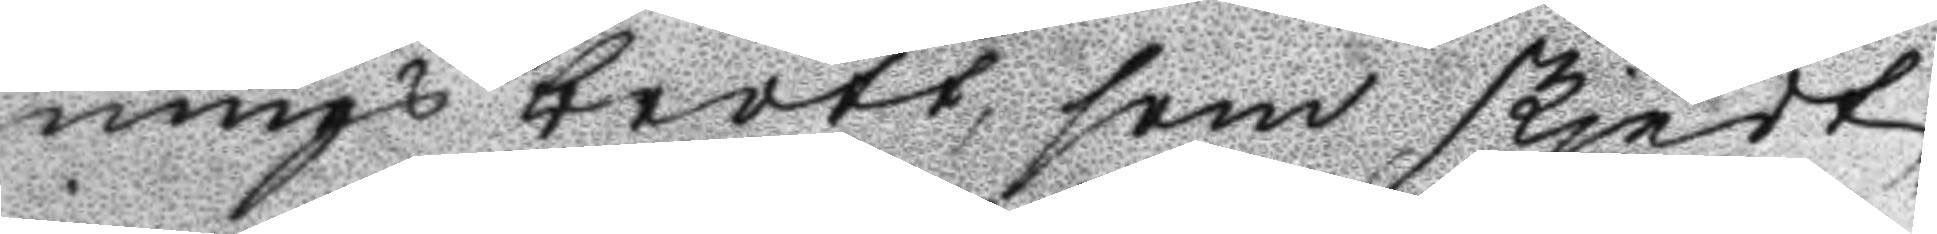nings brott, som skjedt
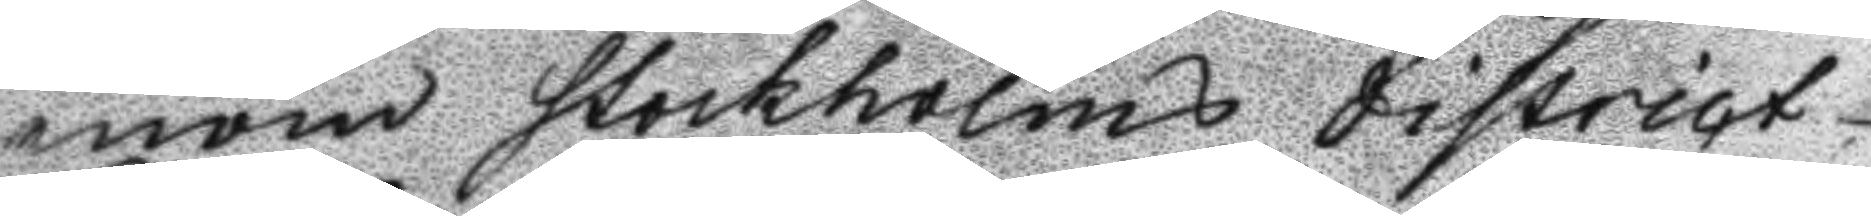inom Stockholms district
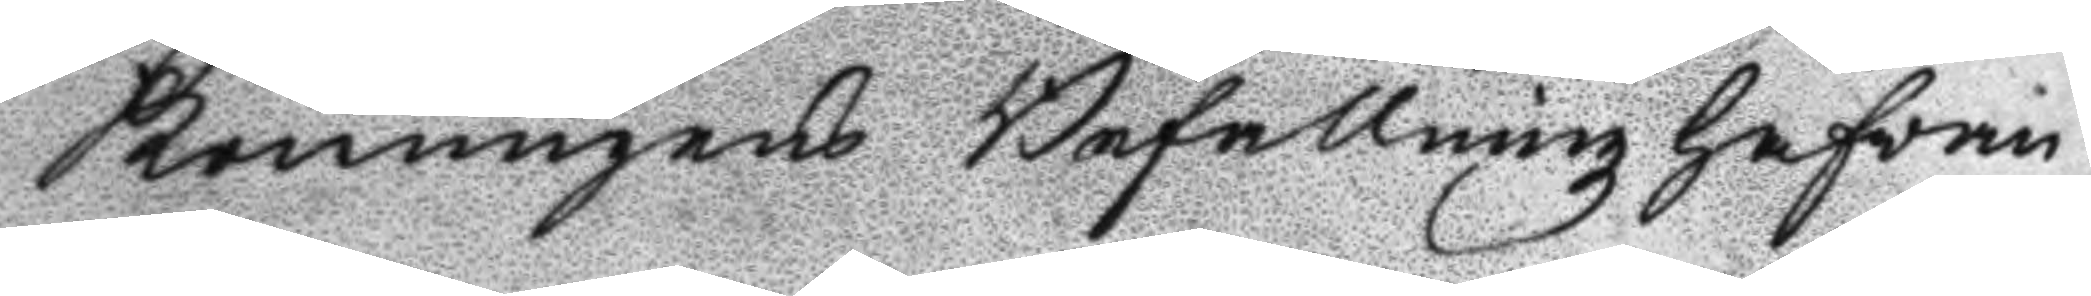Konungens Befallningzhafvan¬
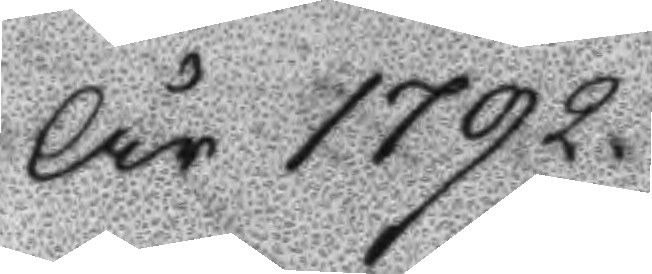År 1792.
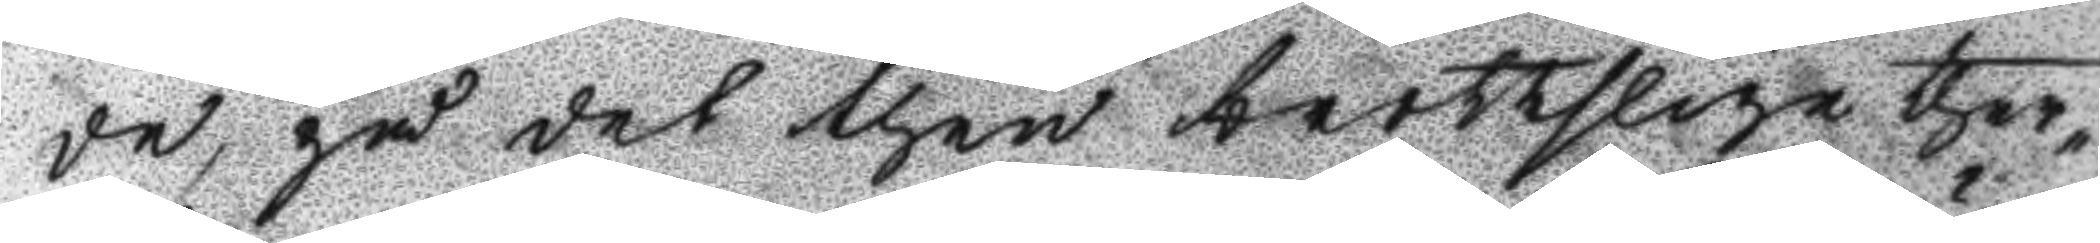de, på det then brottslige ther¬
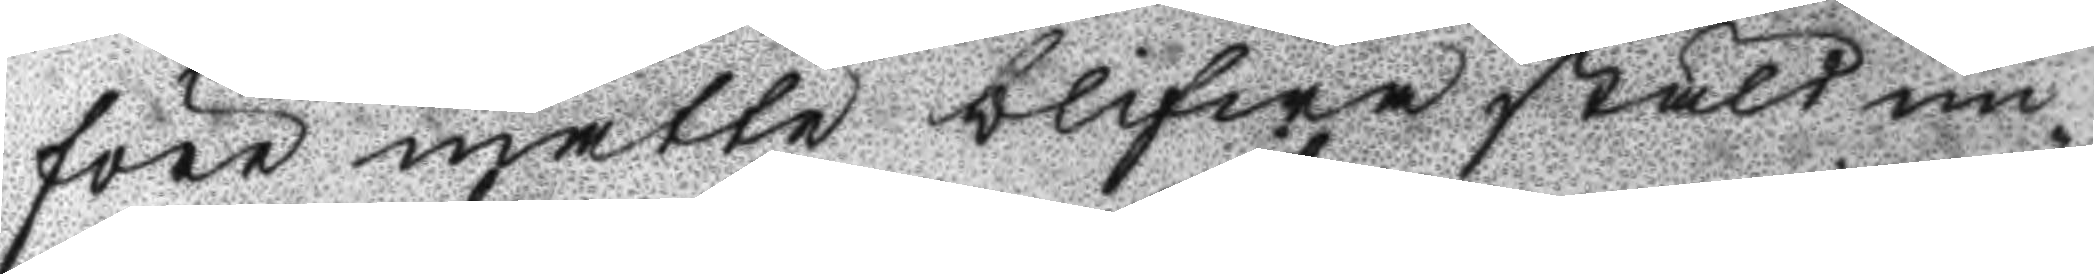före måtte blifwa stält un¬
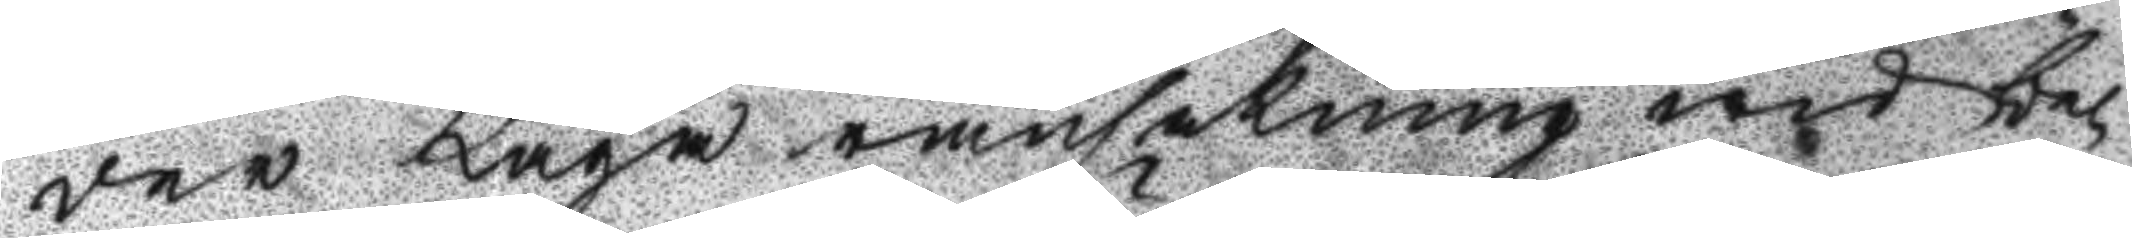der Laga ransakning wid be¬
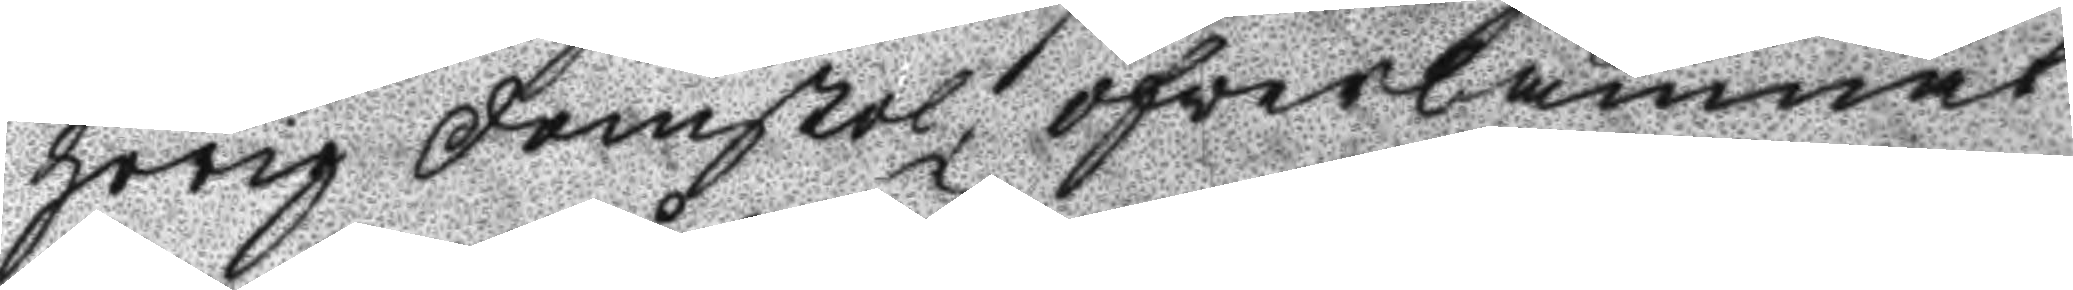hörig domstol, öfwerlämnat
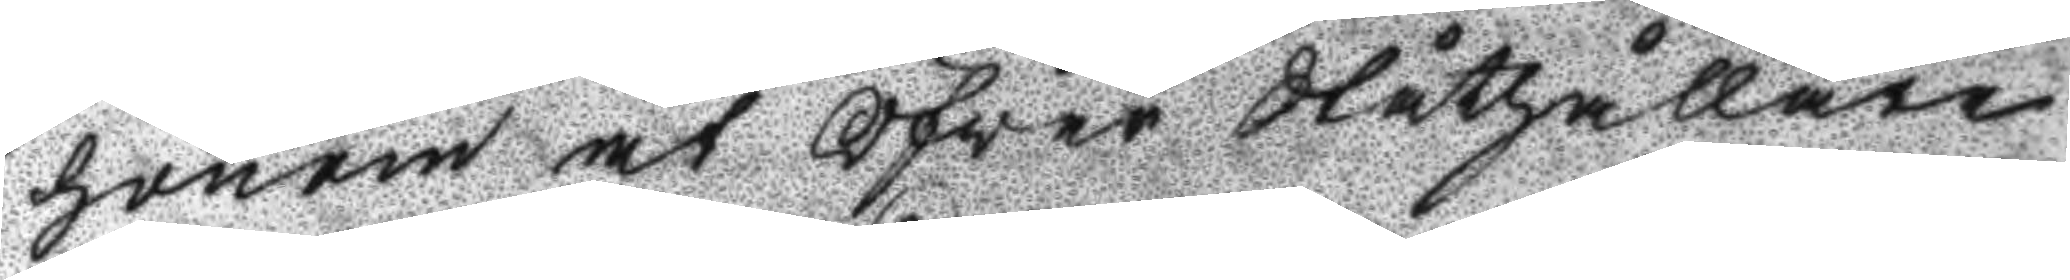honom åt Öfver Ståthållare
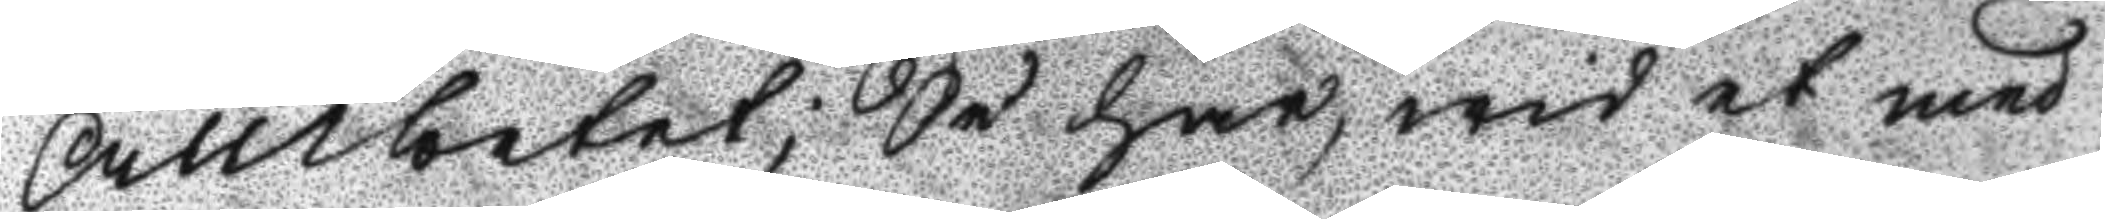Ambetet; Så har, wid et med
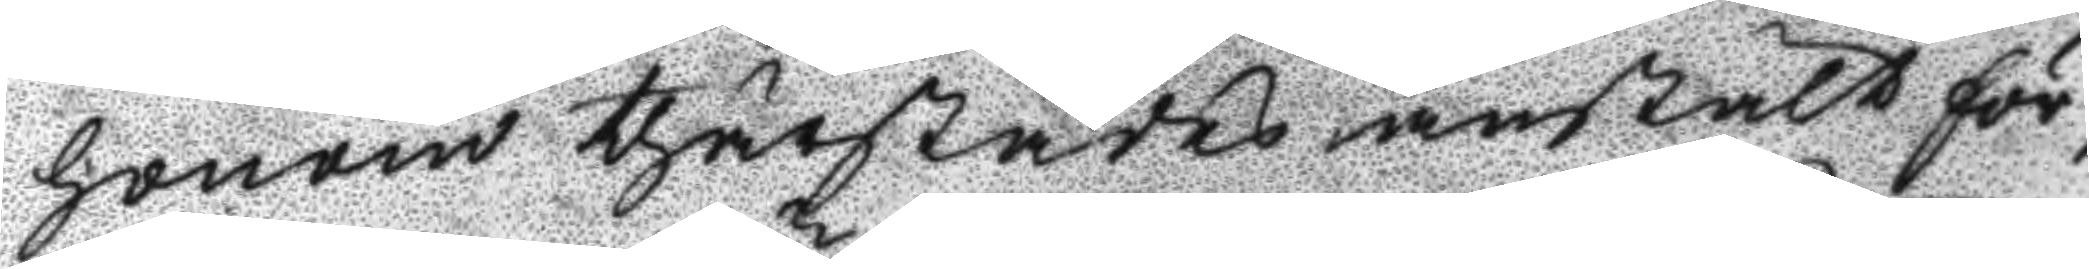honom thärstädes anstält för¬
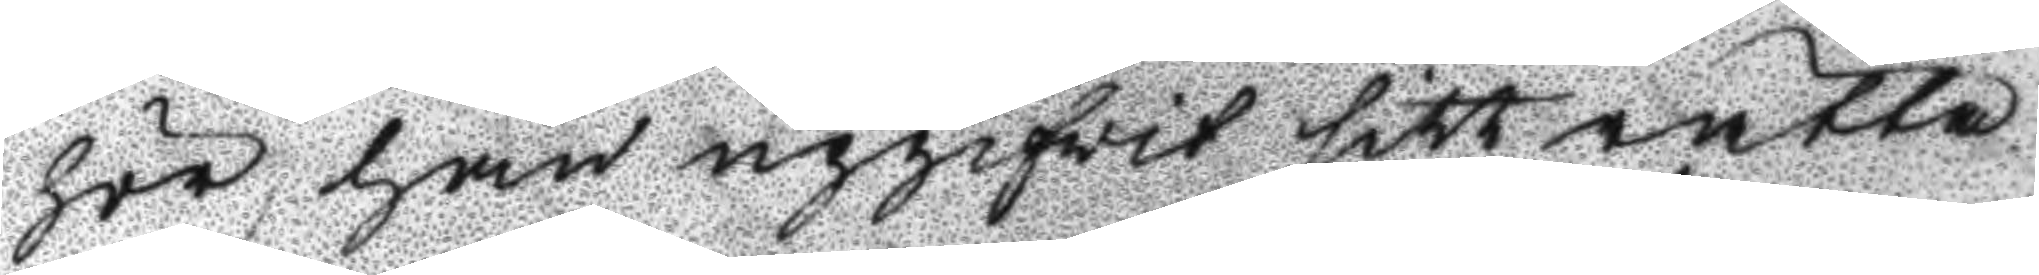hör, han upgifwit sitt rätta
